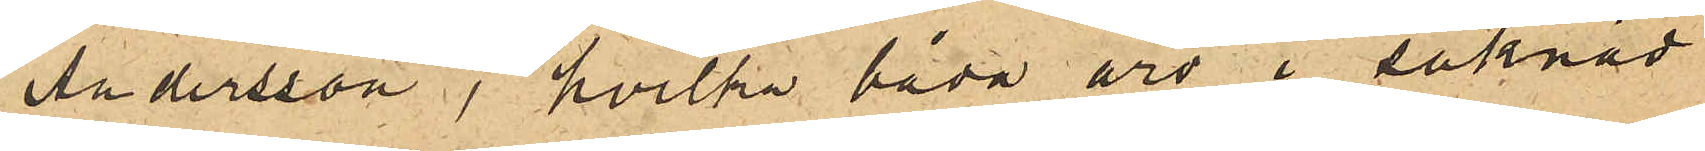Andersson, hvilka båda äro i saknad
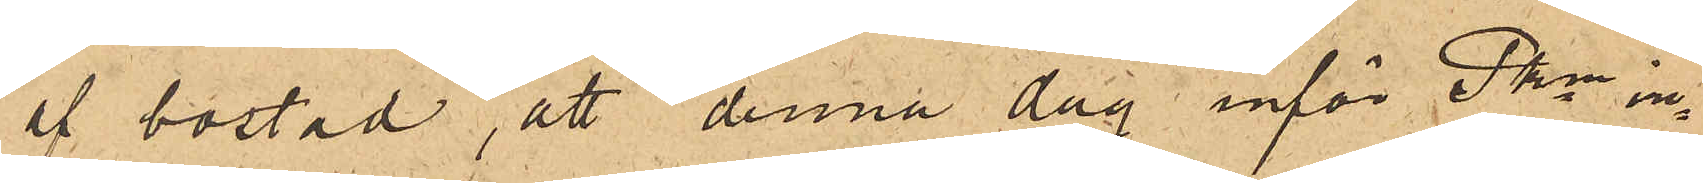af bostad, att denna dag inför Pkn in¬
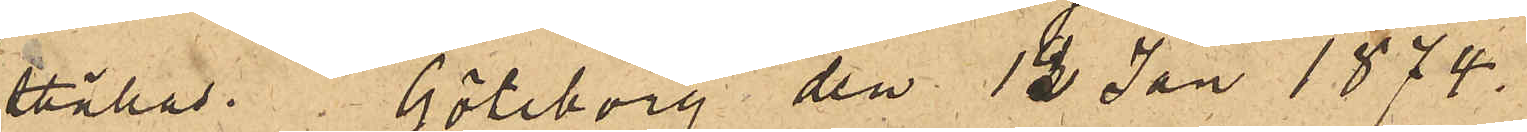ställas. Göteborg den 12 Jan 1874.
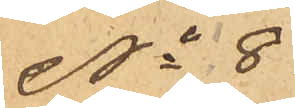No 8
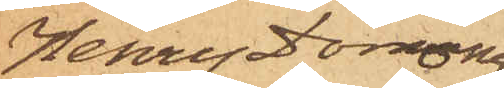Henry Domony
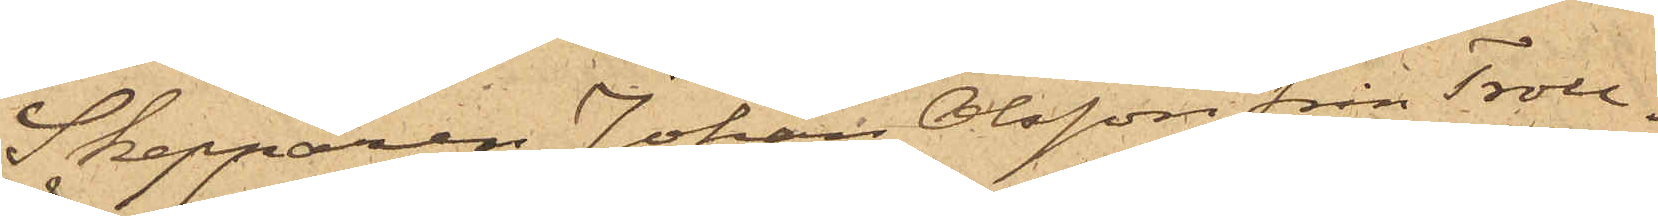Skepparen Johan Olsson från Troll¬
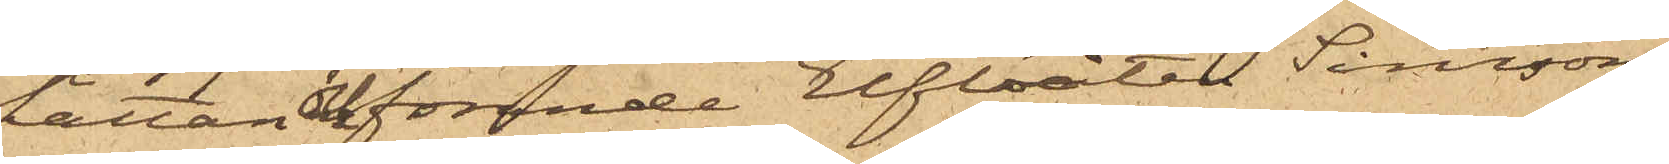hättan förande Elfbåten Simson,
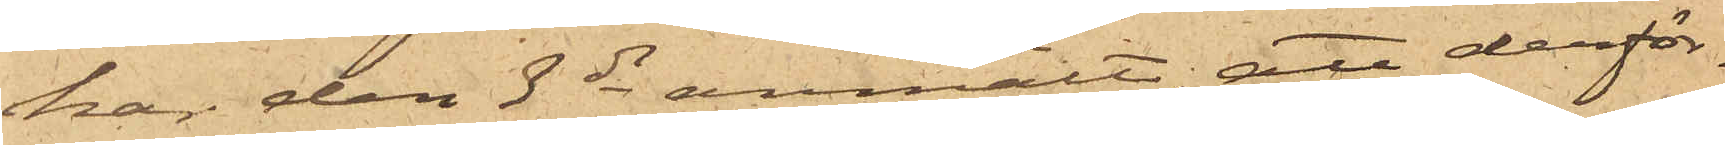har den 3 ds anmält att derför¬
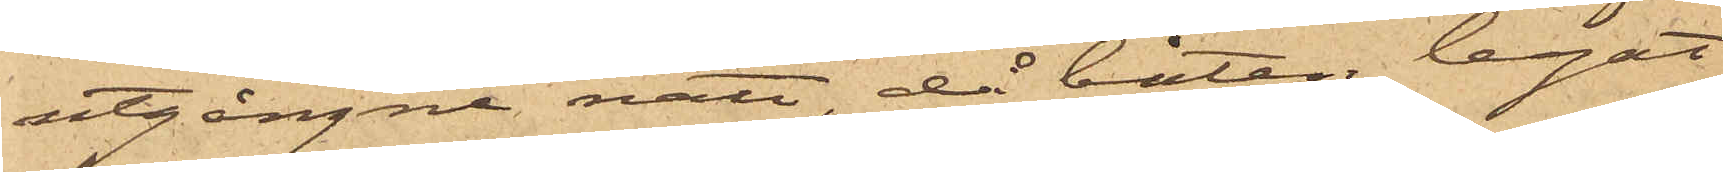utgångne natt, då båten legat
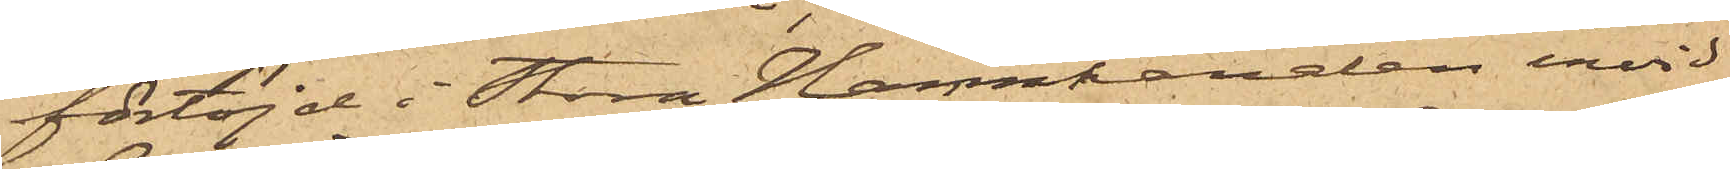förtöjd i Stora Hamnkanalen invid
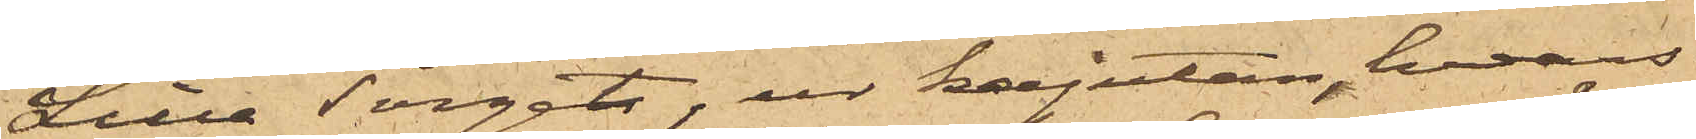Lilla Torget, ur kajutan, hvars
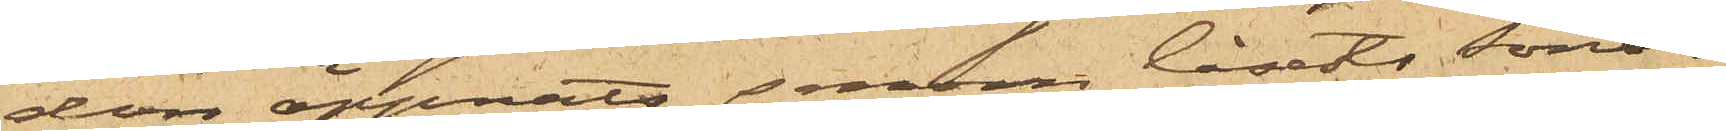dörr öppnats genom låsets sönder¬
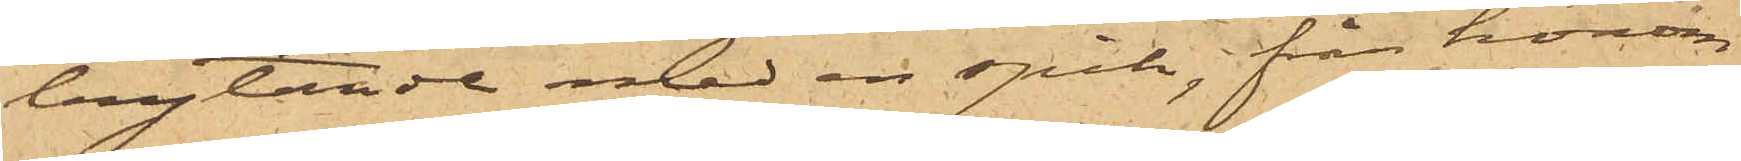brytande med en spik, från honom
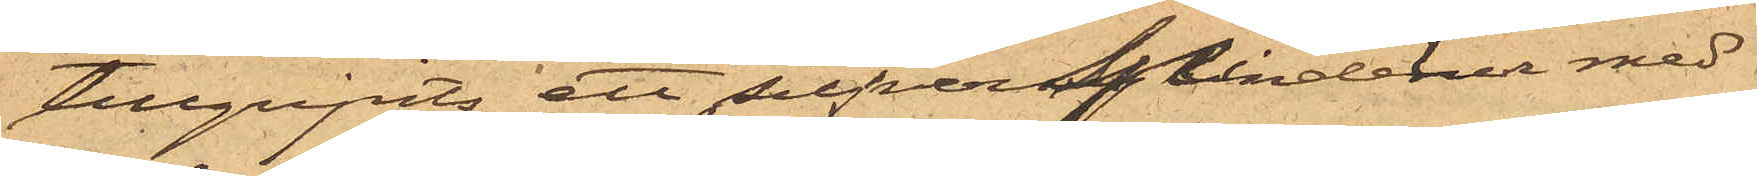tillgripits ett silfvercylinderur med
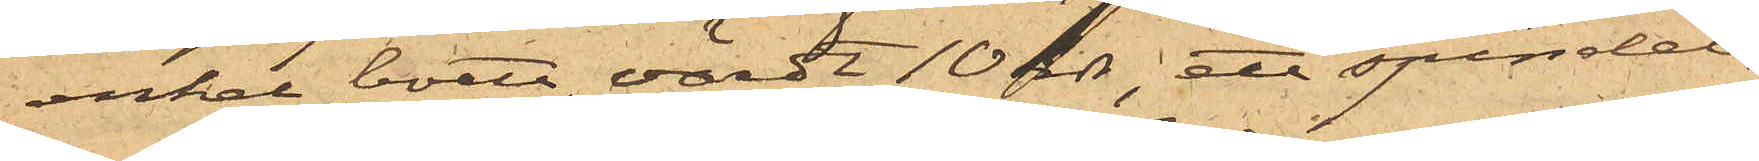enkel boett värdt 10 rdr; ett spindel¬
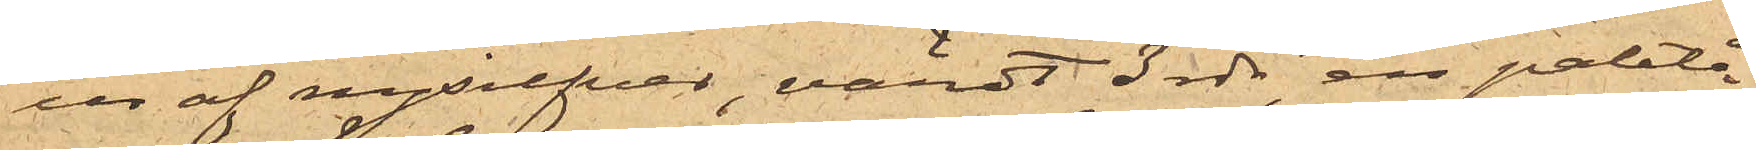ur af nysilfver, värdt 3 rdr, en paletå
